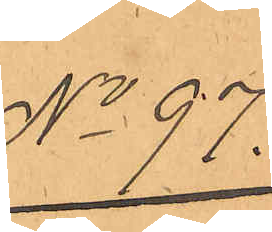No 97.
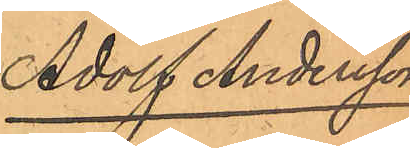Adolf Andersson
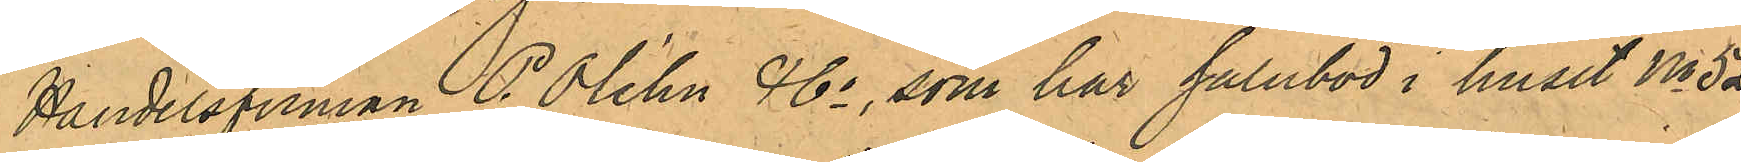Handelsfirman P. Olehn & Co, som har salubod i huset No 52
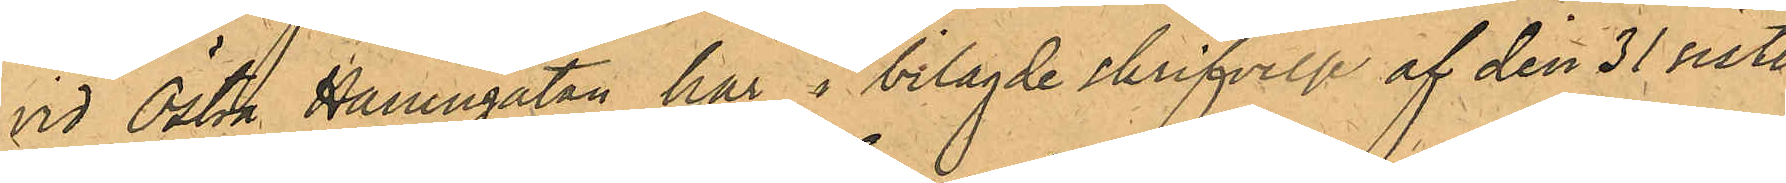vid Östra Hamngatan har i bilagde skrifvelse af den 31 sistl.
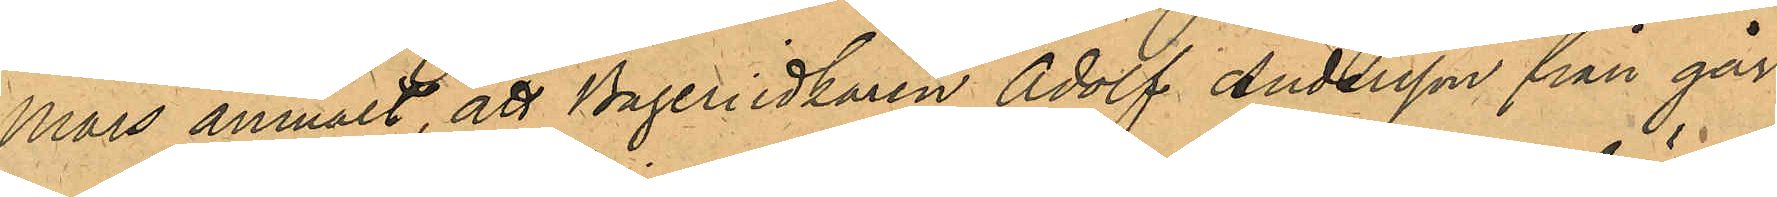Mars anmält, att Bageriidkaren Adolf Andersson från går¬
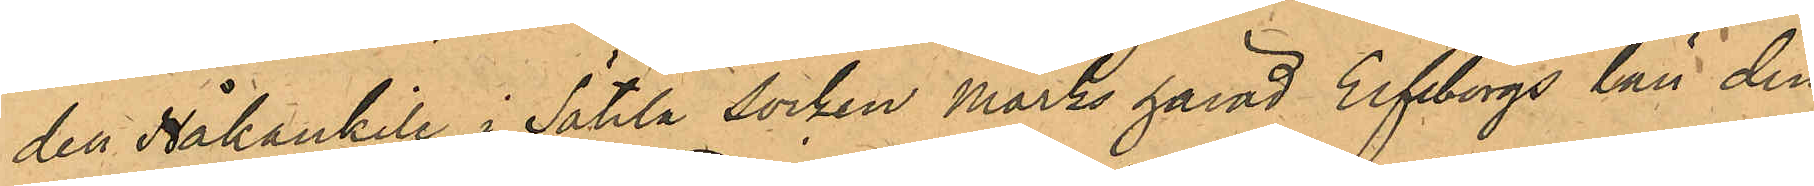den Håkankile i Sätila Socken Marks härad Elfsborgs län den
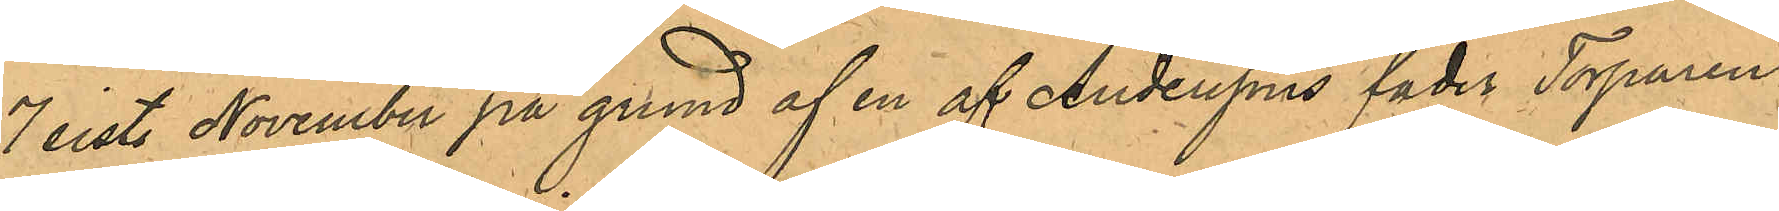7 sist. November på grund af en af Anderssons fader Torparen
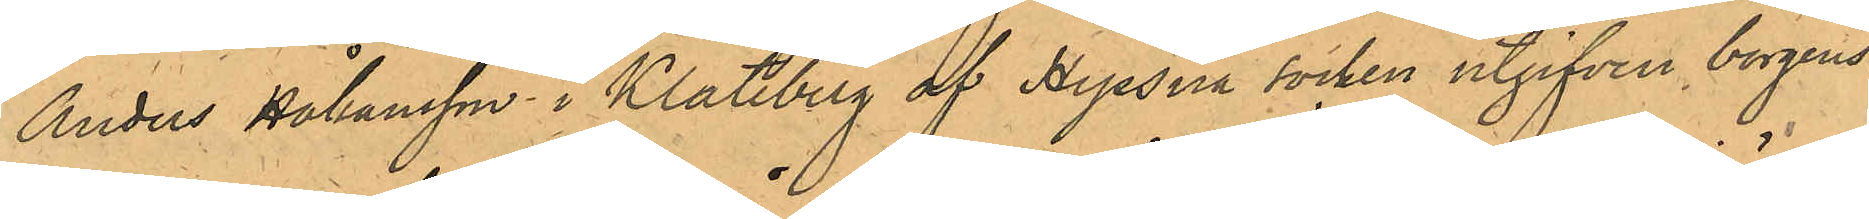Anders Håkansson i Klateberg af Hyssna socken utgifven borgens¬
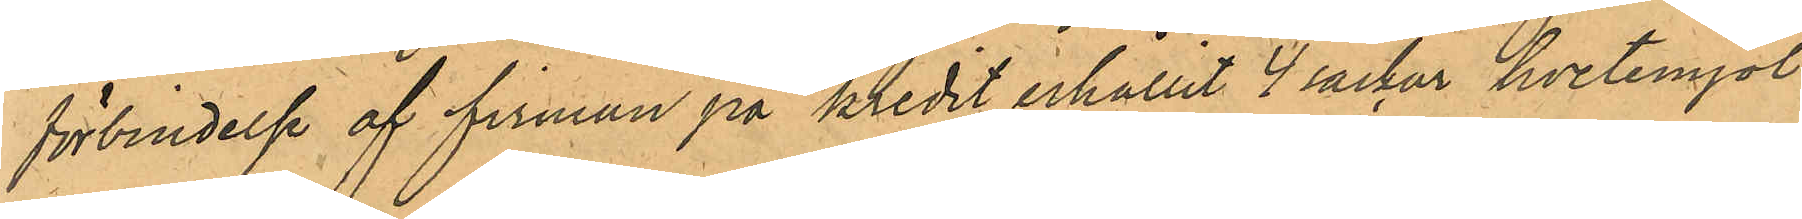förbindelse af firman på kredit erhållit 4 säckar hvetemjöl
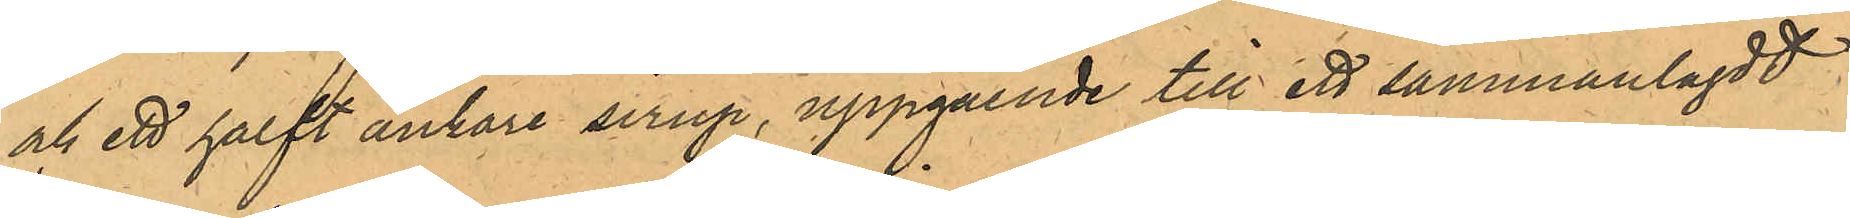och ett halft ankare sirup, uppgående till ett sammanlagdt
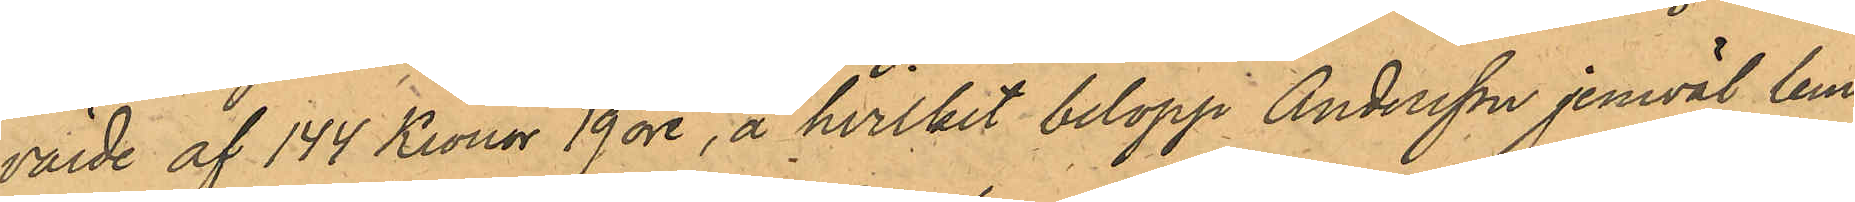värde af 144 Kronor 19 öre, å hvilket belopp Andersson jemväl lem¬
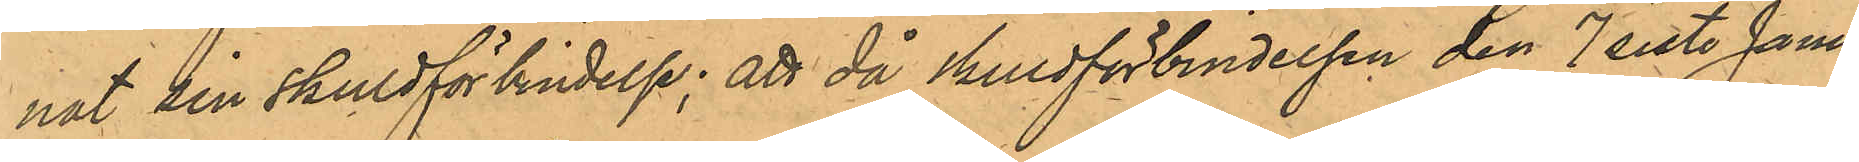nat sin skuldförbindelse; att då skuldförbindelsen den 7 sist. Janu¬
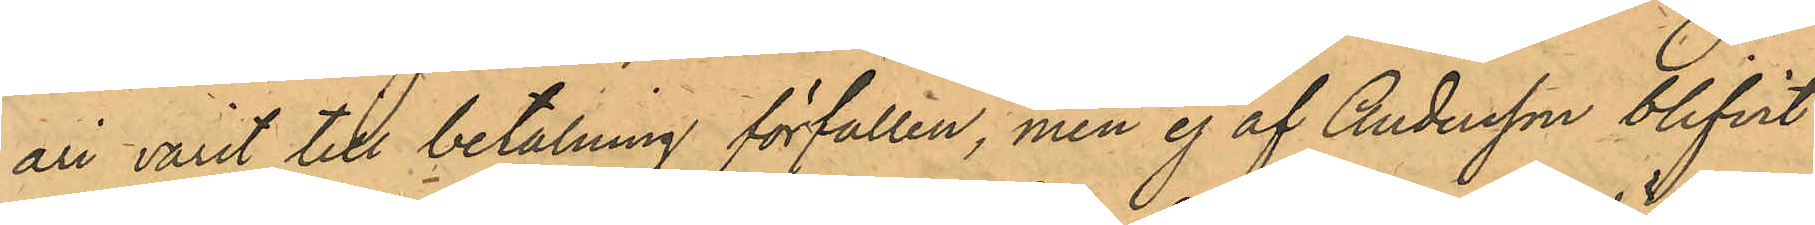ari varit till betalning förfallen, men ej af Andersson blifvit
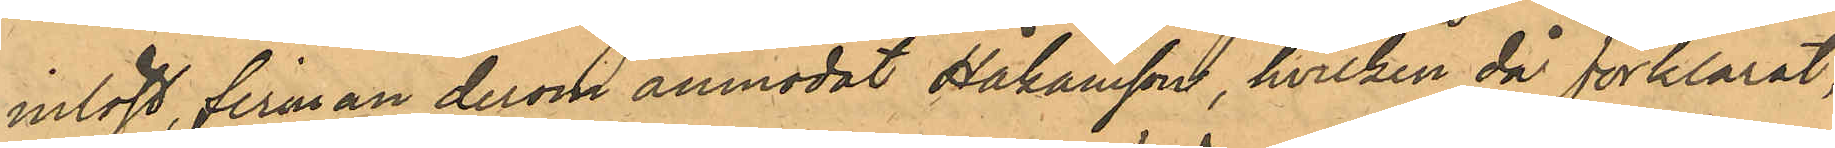inlöst, firman derom anmodat Håkansson, hvilken då förklarat,
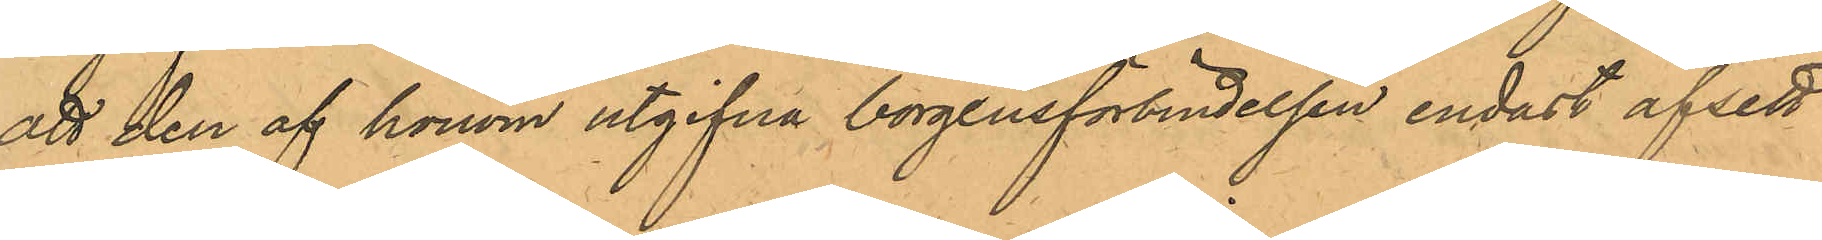att den af honom utgifna borgensförbindelsen endast afsett
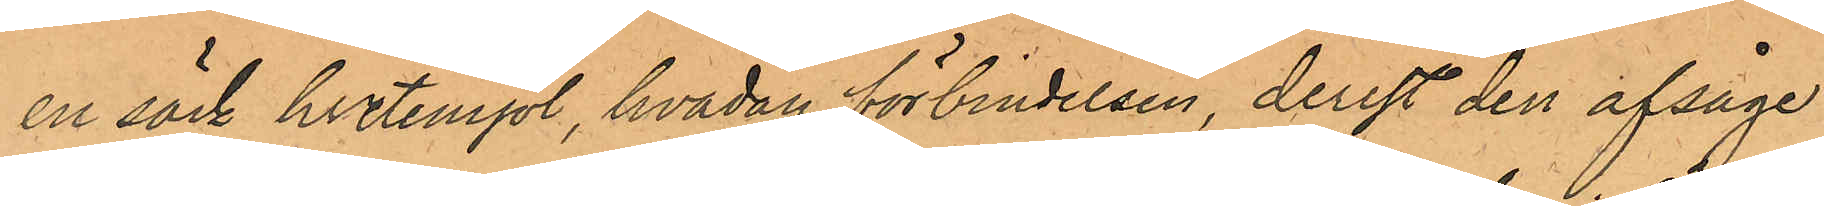en säck hvetemjöl, hvadan förbindelsen, derest den afsåge
